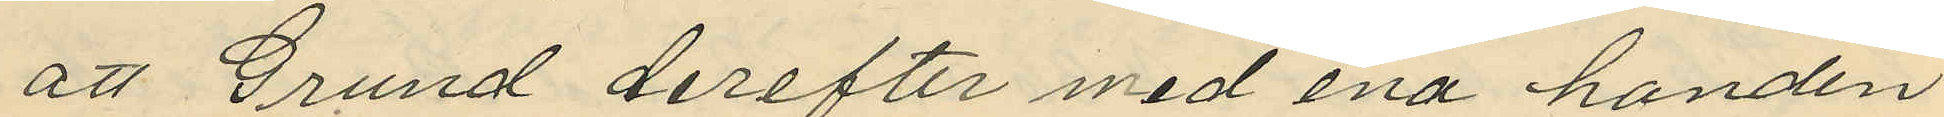att Grund derefter med ena handen
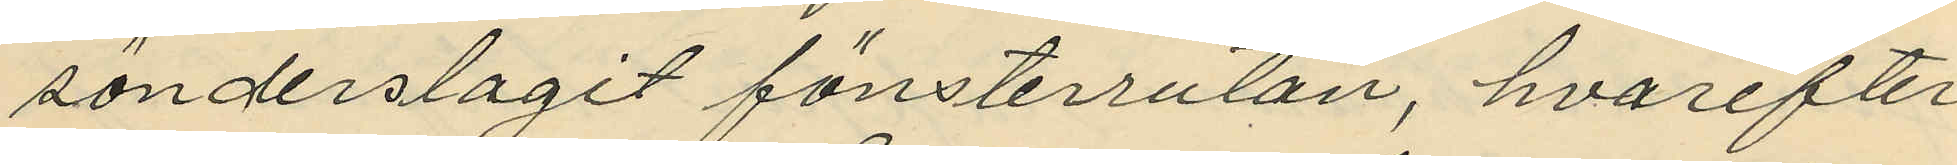sönderslagit fönsterrutan, hvarefter
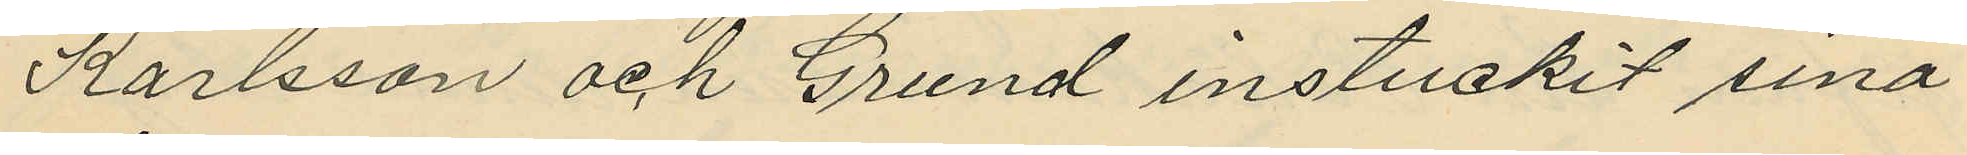Karlsson och Grund instuckit sina
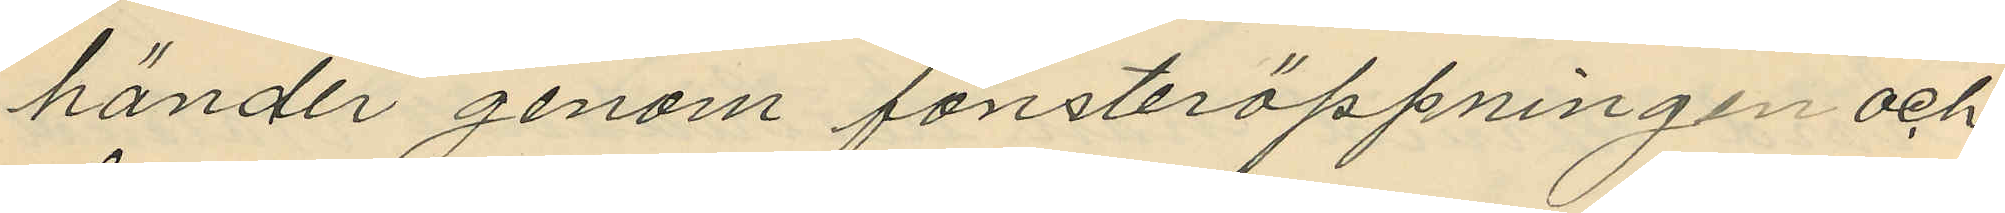händer genom fönsteröppningen och
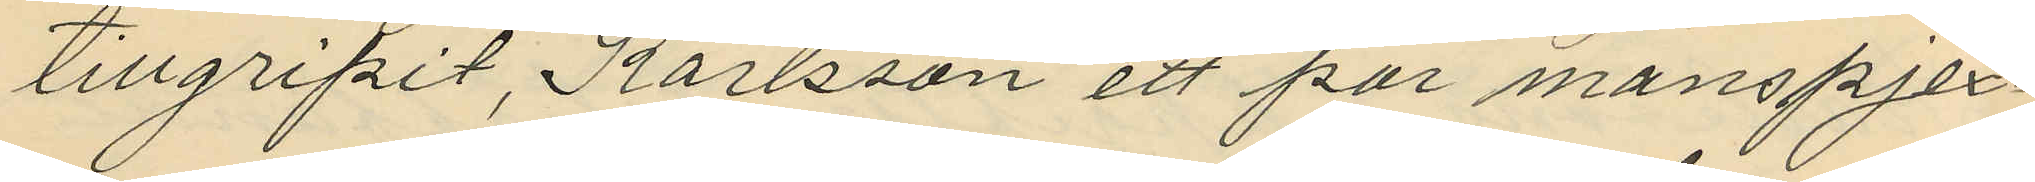tillgripit, Karlsson ett par manspjex¬
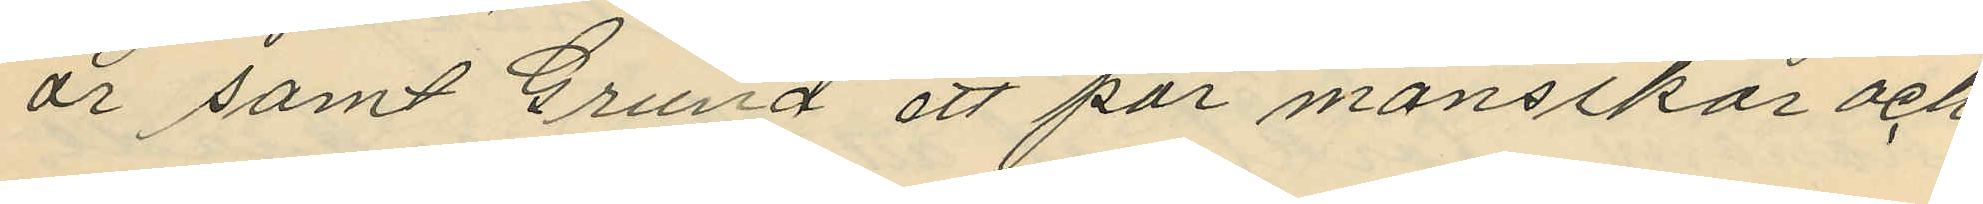år samt Grund ett par mansskor och
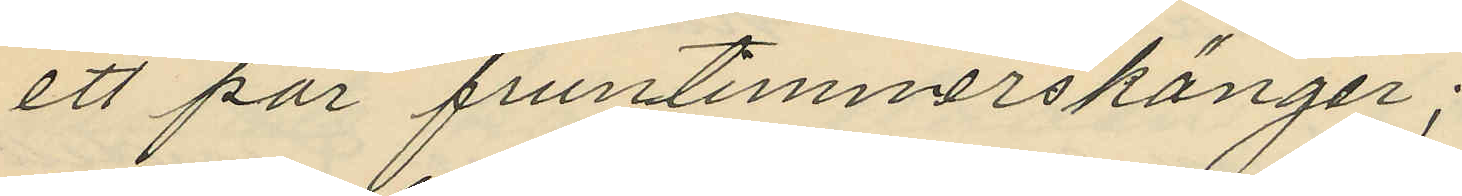ett par fruntimmerskängor;
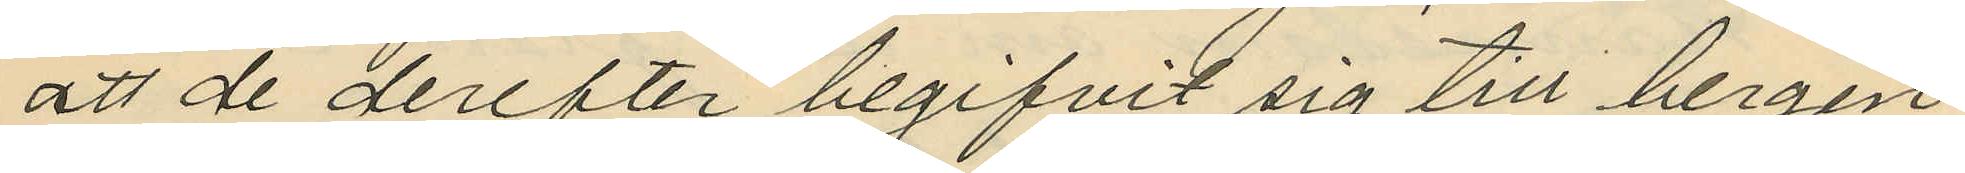att de derefter begifvit sig till bergen
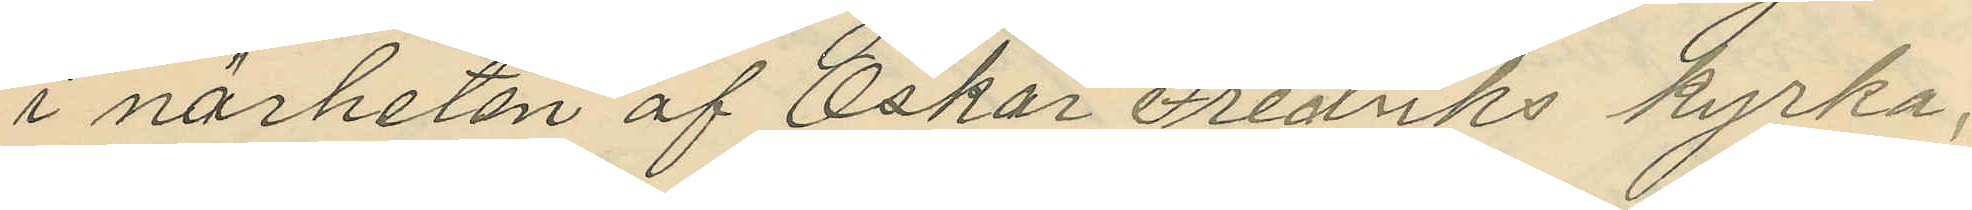i närheten af Oskar Fredriks kyrka,
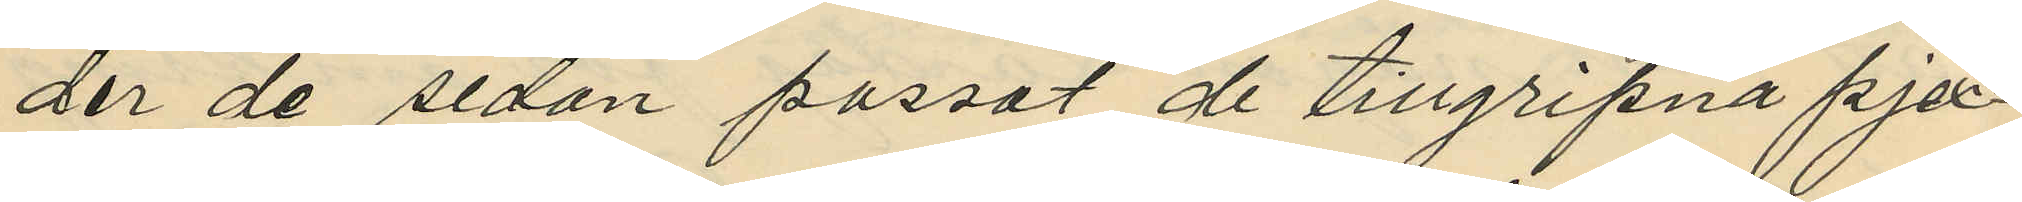der de sedan passat de tillgripna pjex¬
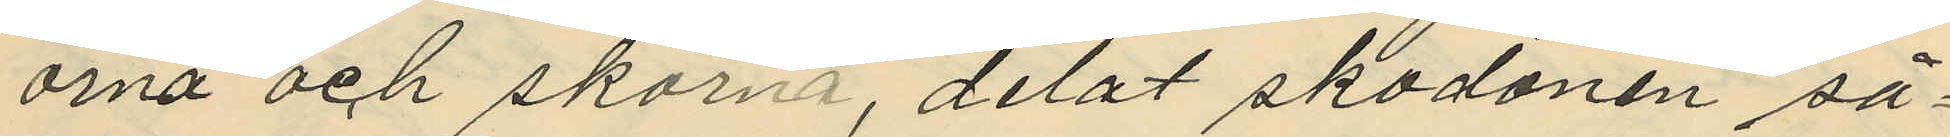orna och skorna, delat skodonen så¬
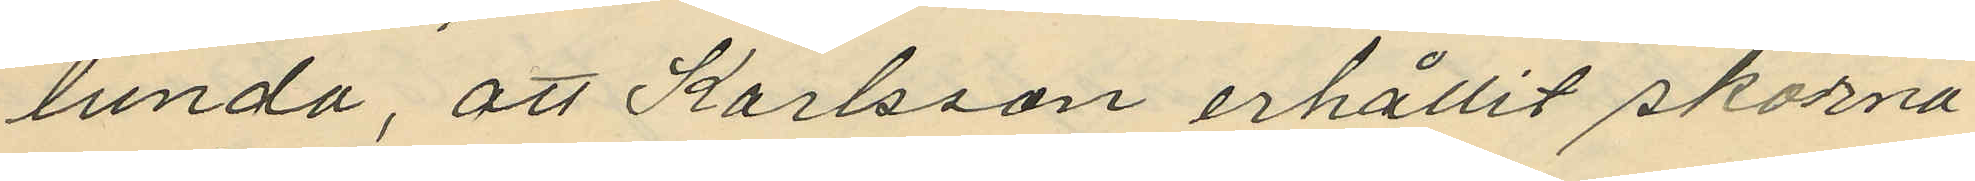lunda, att Karlsson erhållit skorna
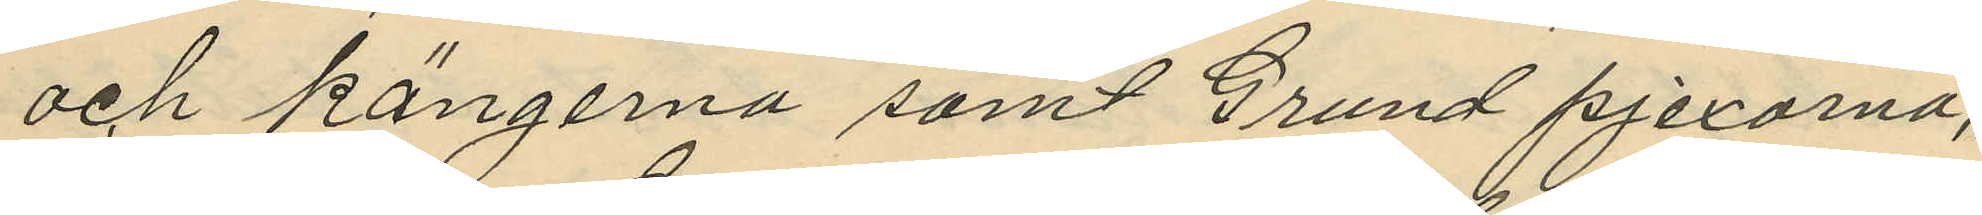och kängerna samt Grund pjexorna,
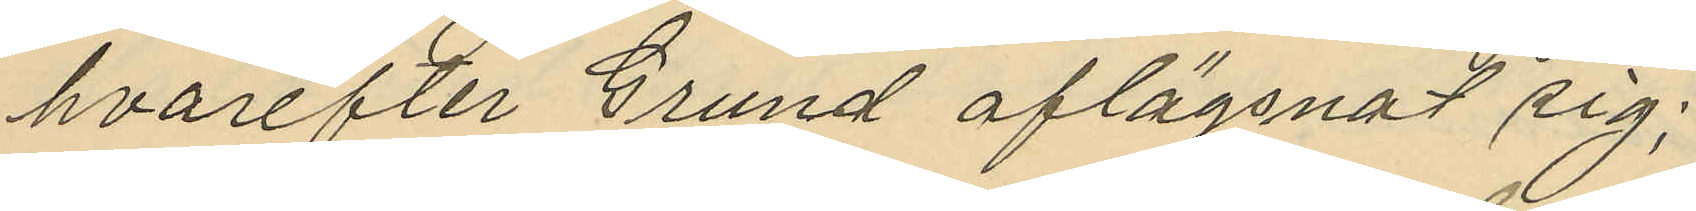hvarefter Grund aflägsnat sig;
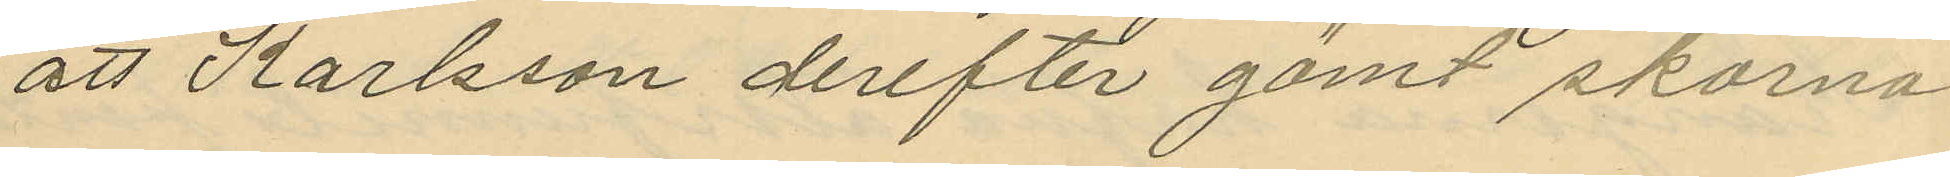att Karlsson derefter gömt skorna
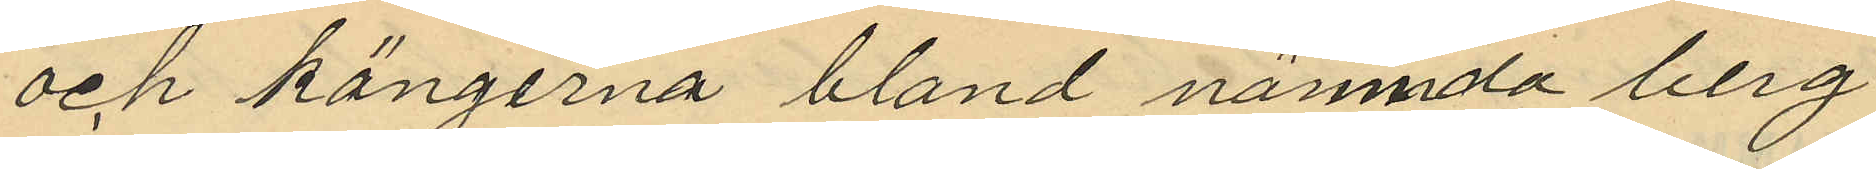och kängerna bland nämnda berg
